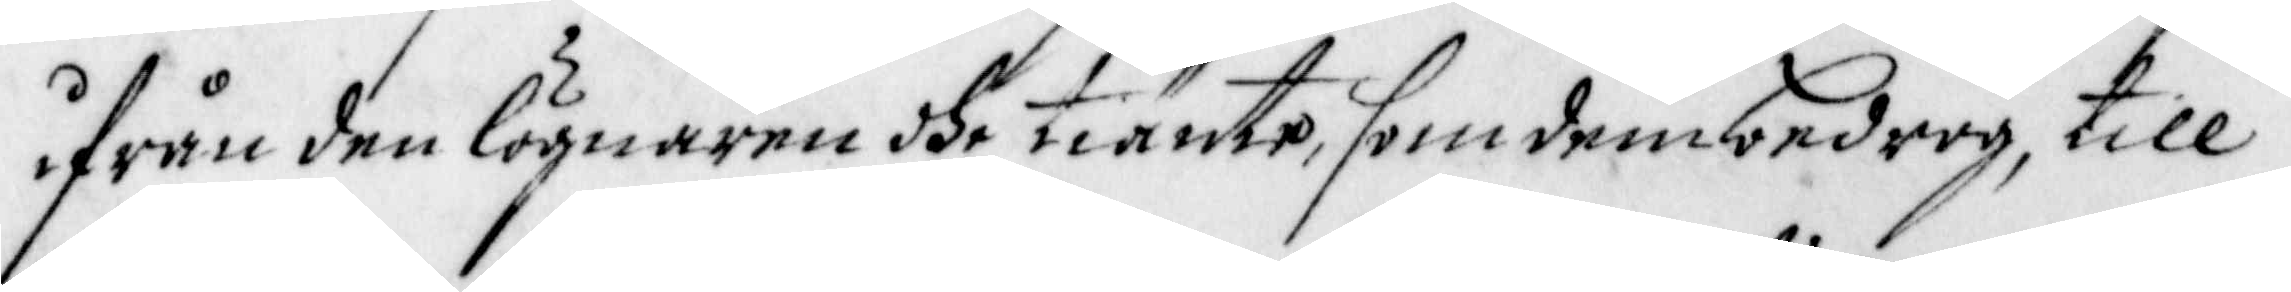ifrån den lögnaren dhe tiänte, som dem bedrog, till
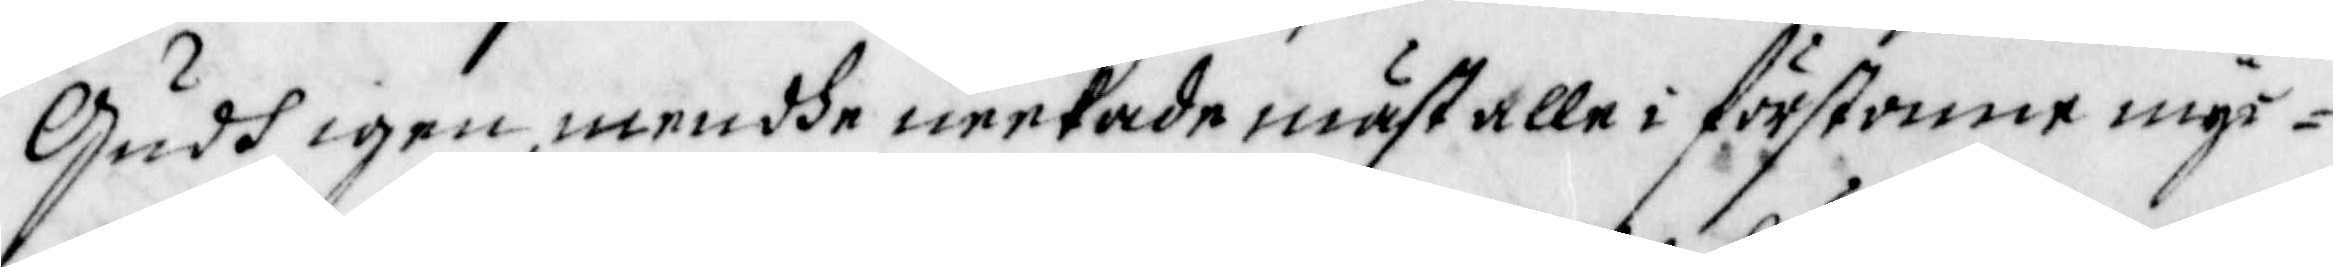Gudh igen, men dhe neekade mäst alle i förstonne myc¬
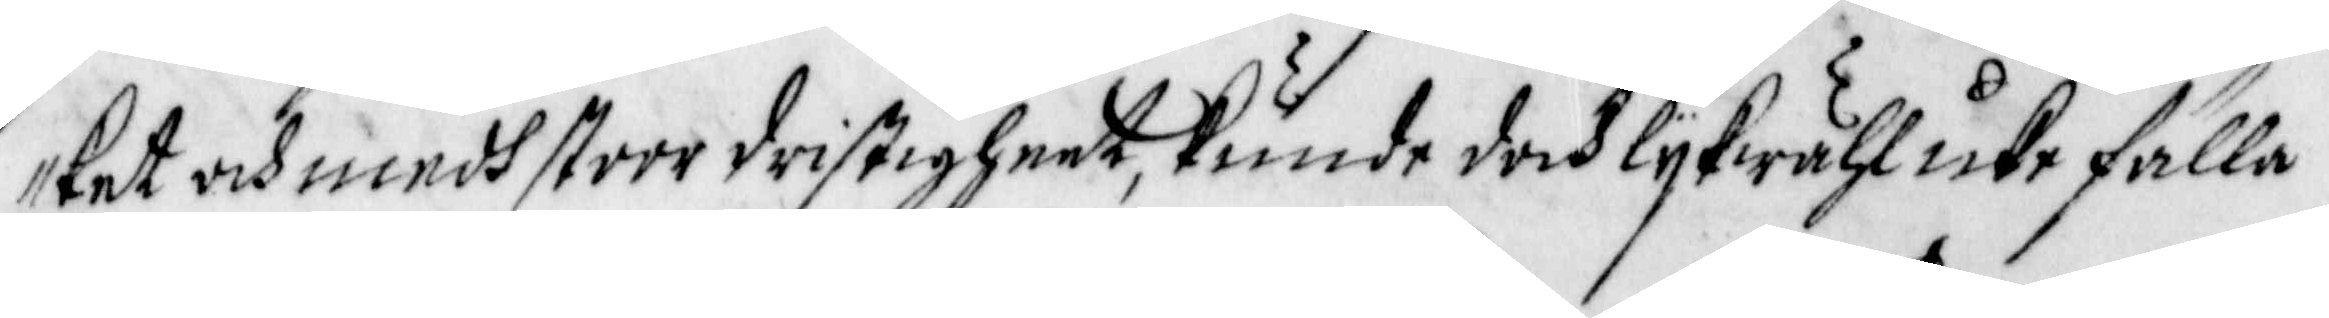ket och medh stoor dristigheet, kunde doch lijkwähl icke fälla
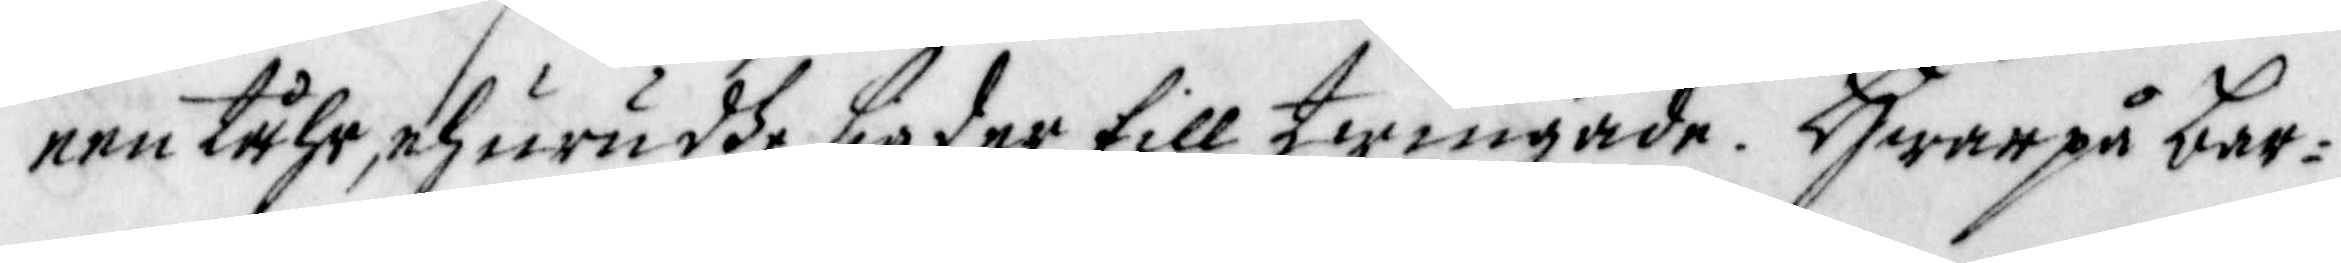een tåhr, ehuru dhe sig der till twingade. Hwarpå bar¬
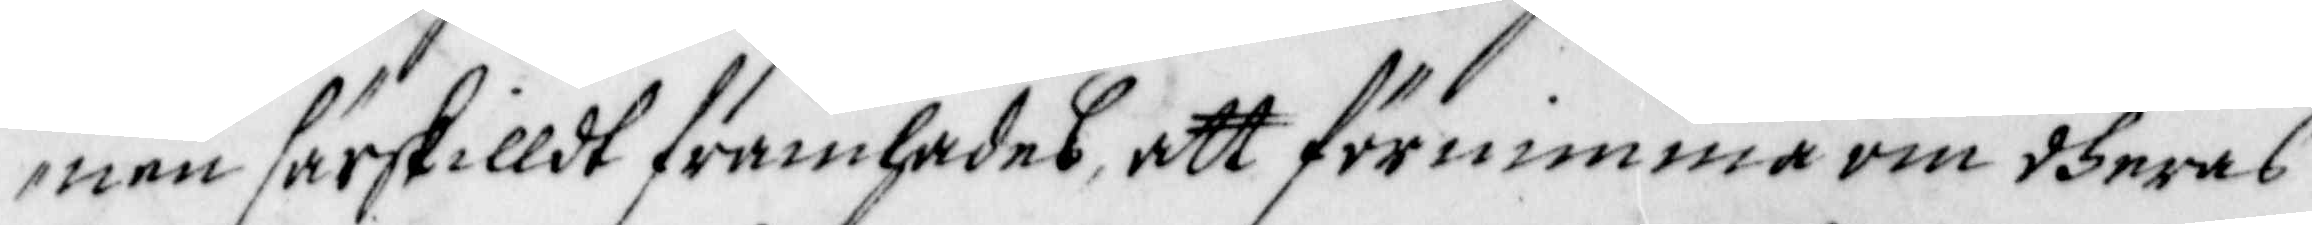nen särskilldt framhades, att förnimma om dheras
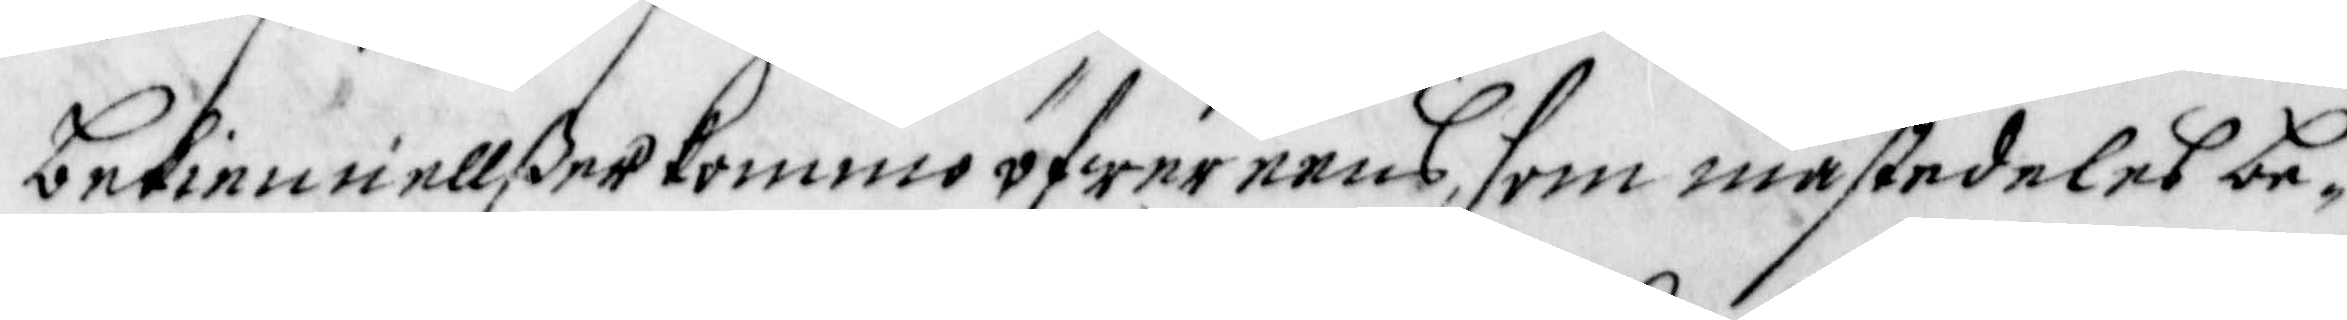bekiennellßer kommo öfwereens, som mästedeles be¬
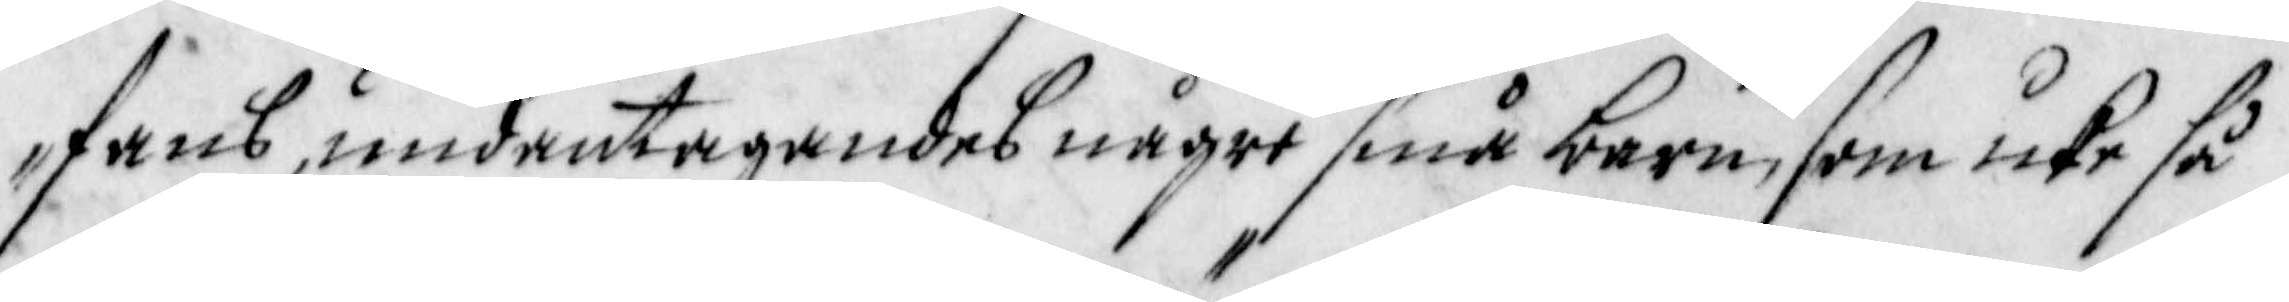fans, undantagandes någre små barn, som icke så
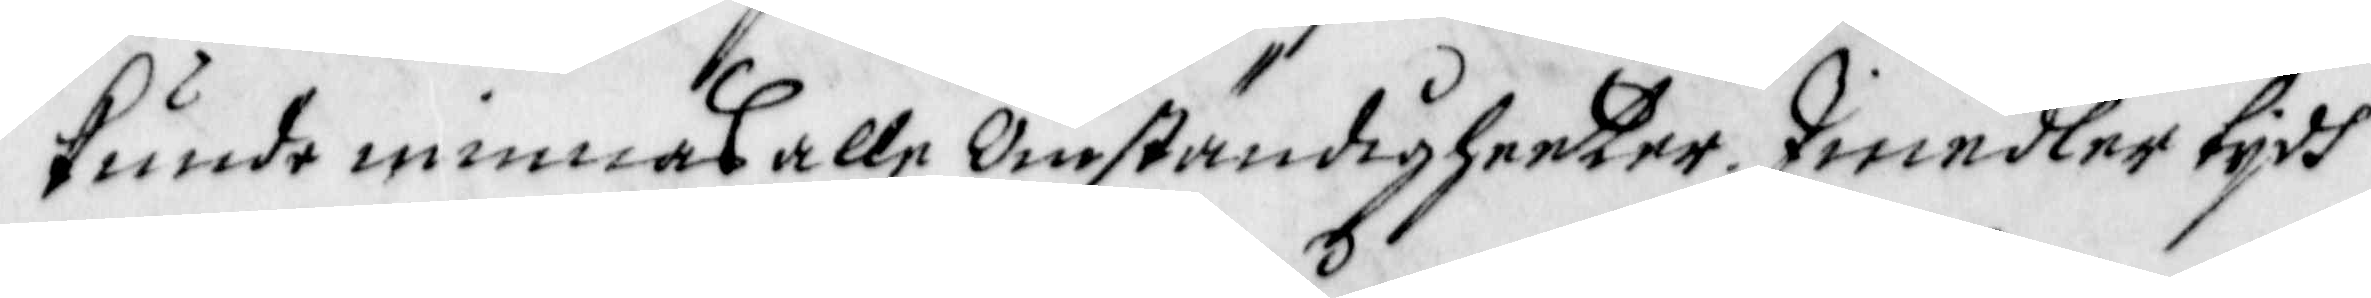kunde minnas alle Omständigheeter. Imedler tijdh
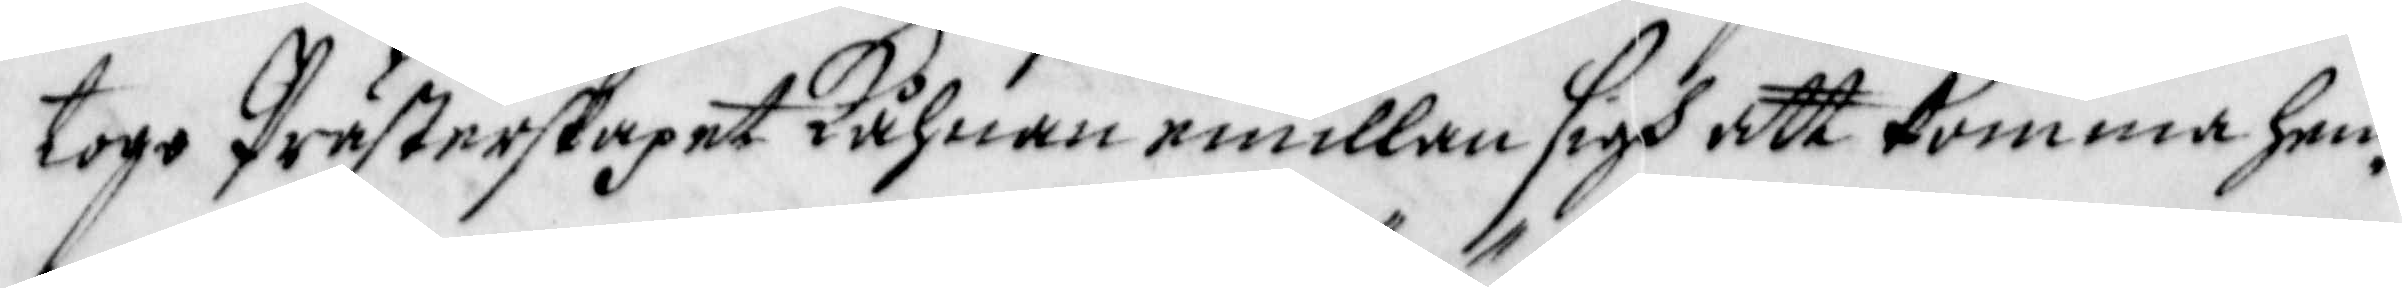togo Prästerskapet Kåhnan emillan sigh att komma hen¬
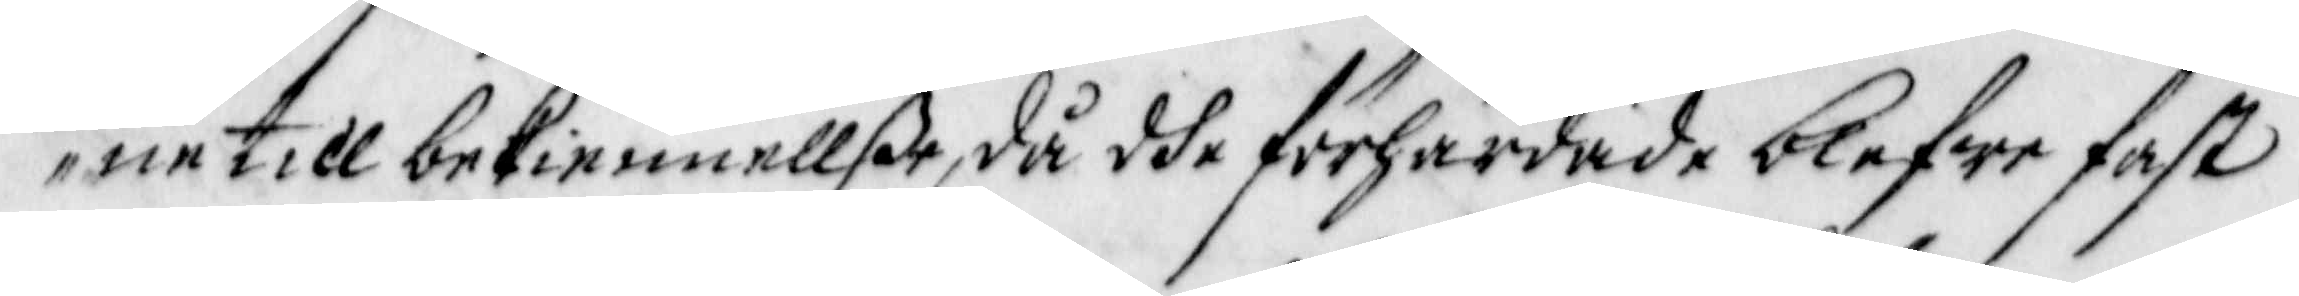ne till bekiennellße, då dhe förhärdade blefwo fast
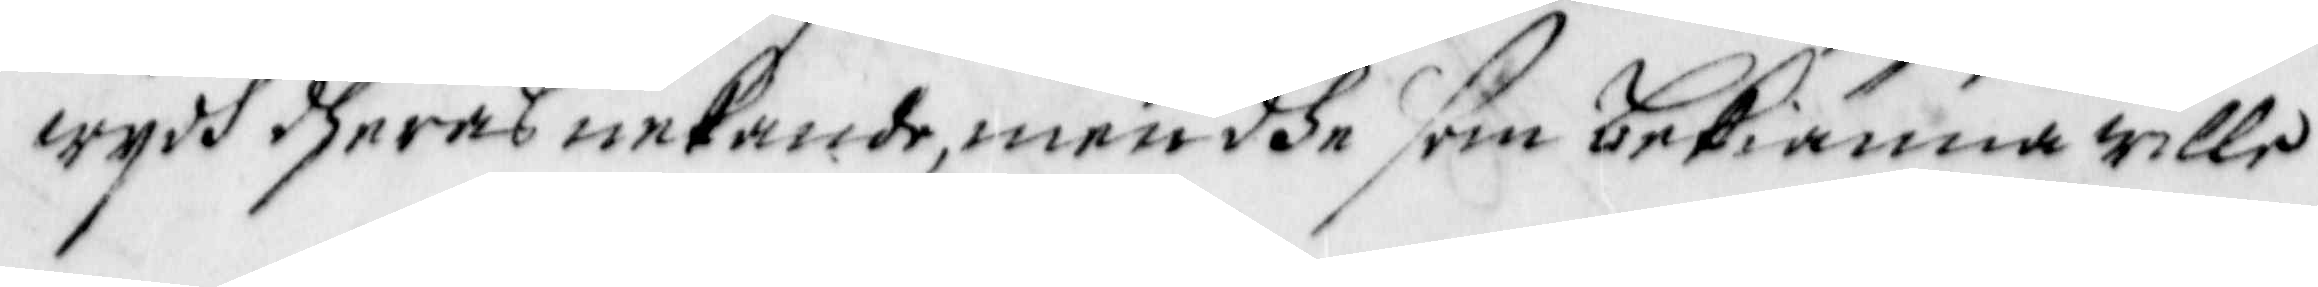wijdh dheras nekande, men dhe som bekiänna wille
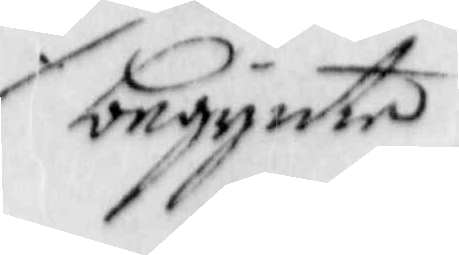begynte
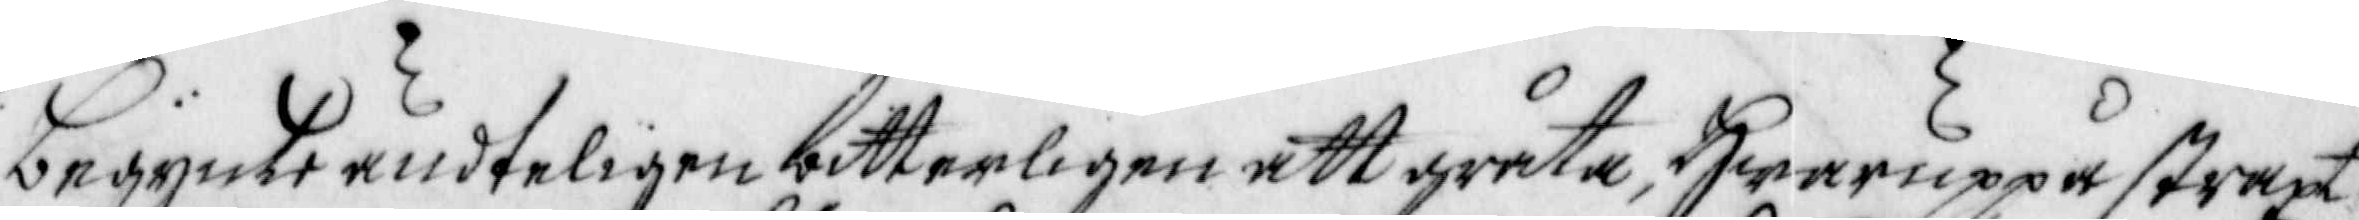begynte ändteligen bitterligen att gråta, Hwaruppå straxt
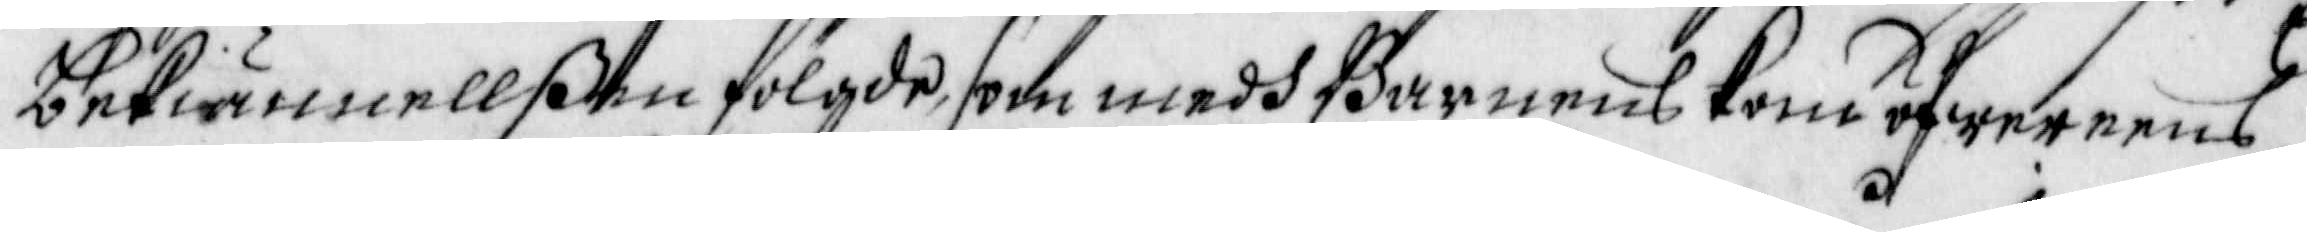bekiännellßen fölgde, som medh Barnens kom öfwereens,
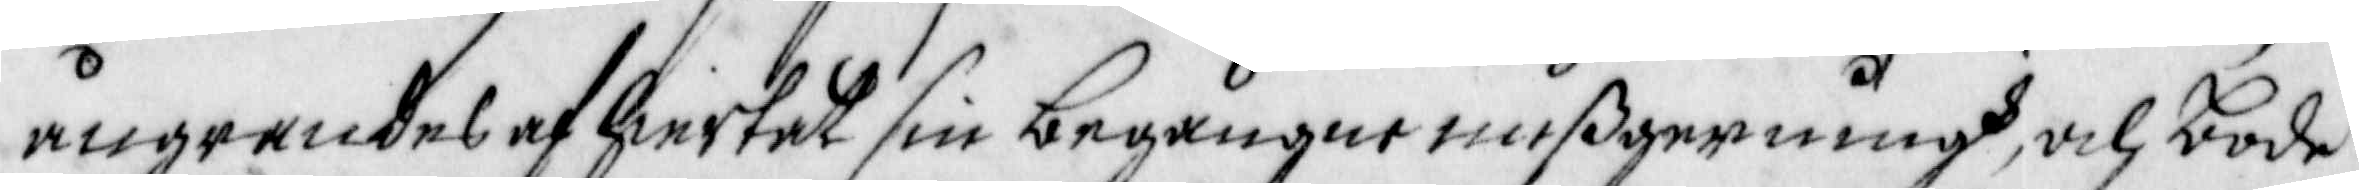ångrandes af hiertat sin begångne mißgerningh, och bode
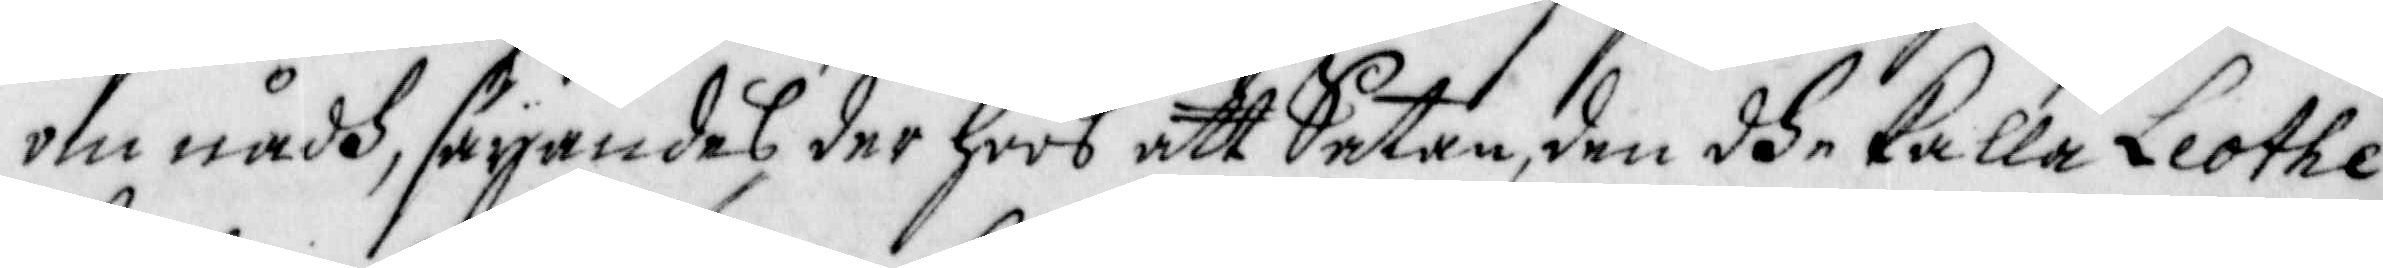om nådh, säyandes. der hoos att Satan, den dhe kalla Liothe
